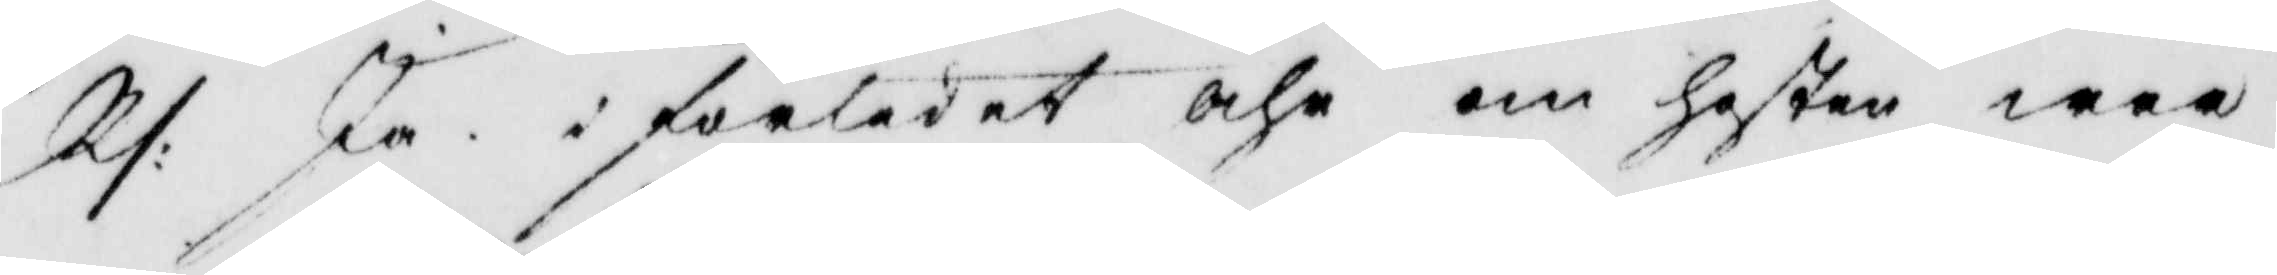Rs: Ja i förlidet åhr om hösten war
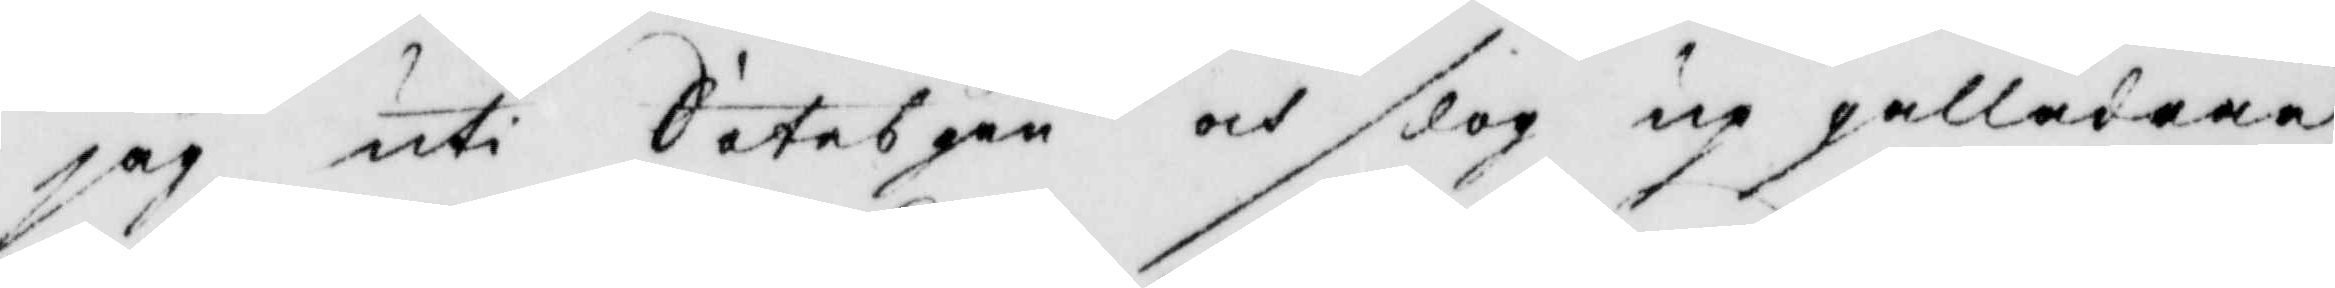jag uti Sätebyen och slog up gallådran
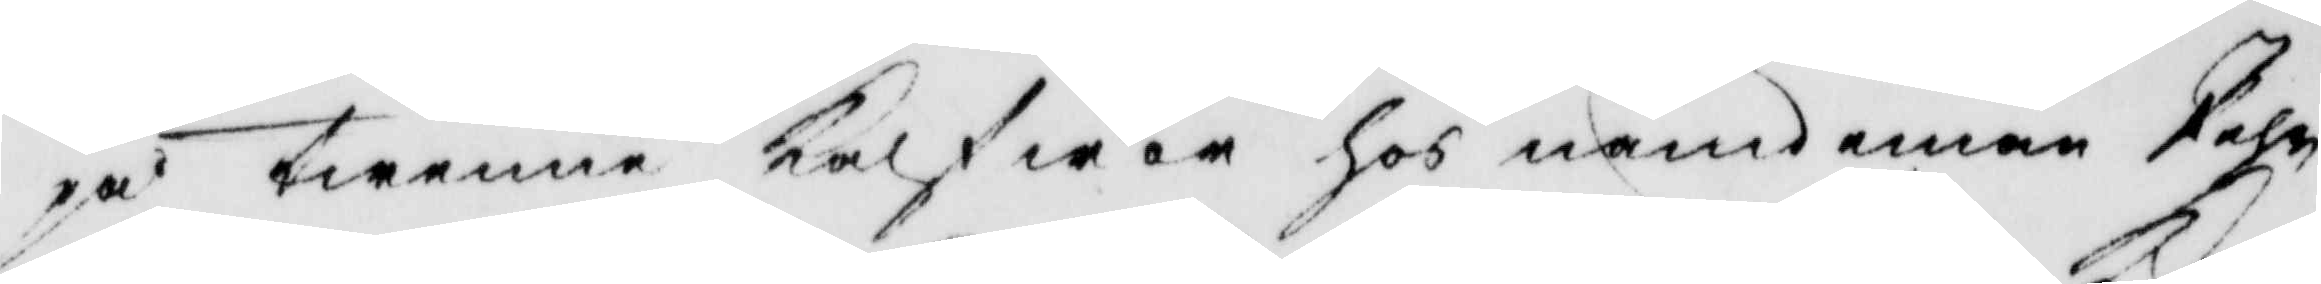på twenne kalfwar hos nämdman Pehr
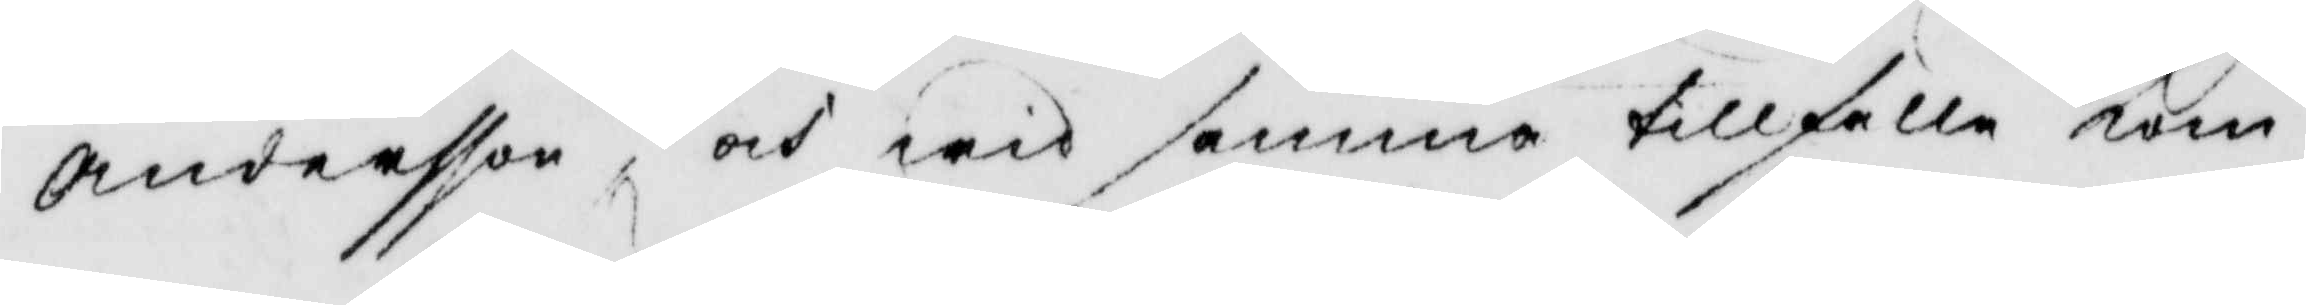Andersson och wid samma tillfälle kom
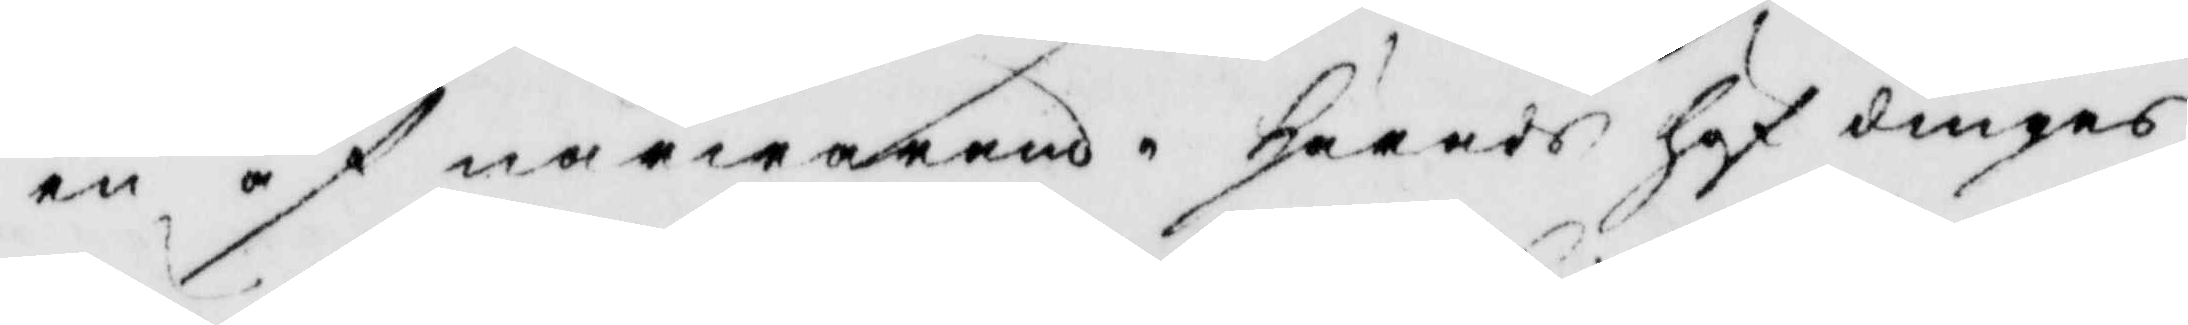en af närwarande häradshöfdingens
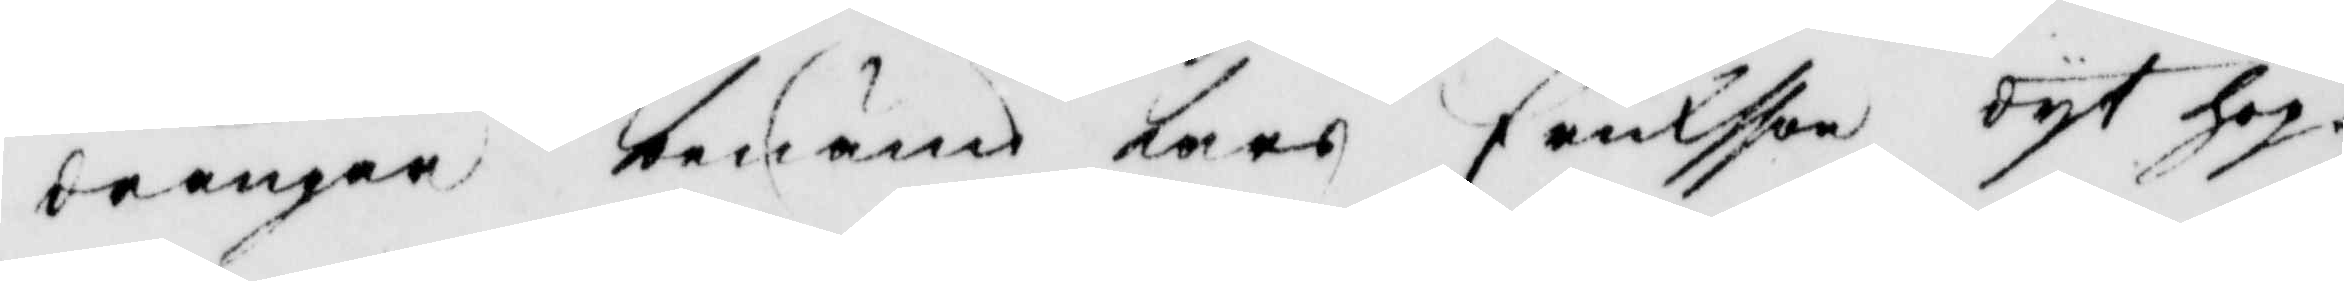drängar benämd Lars ericksson dyt hop¬
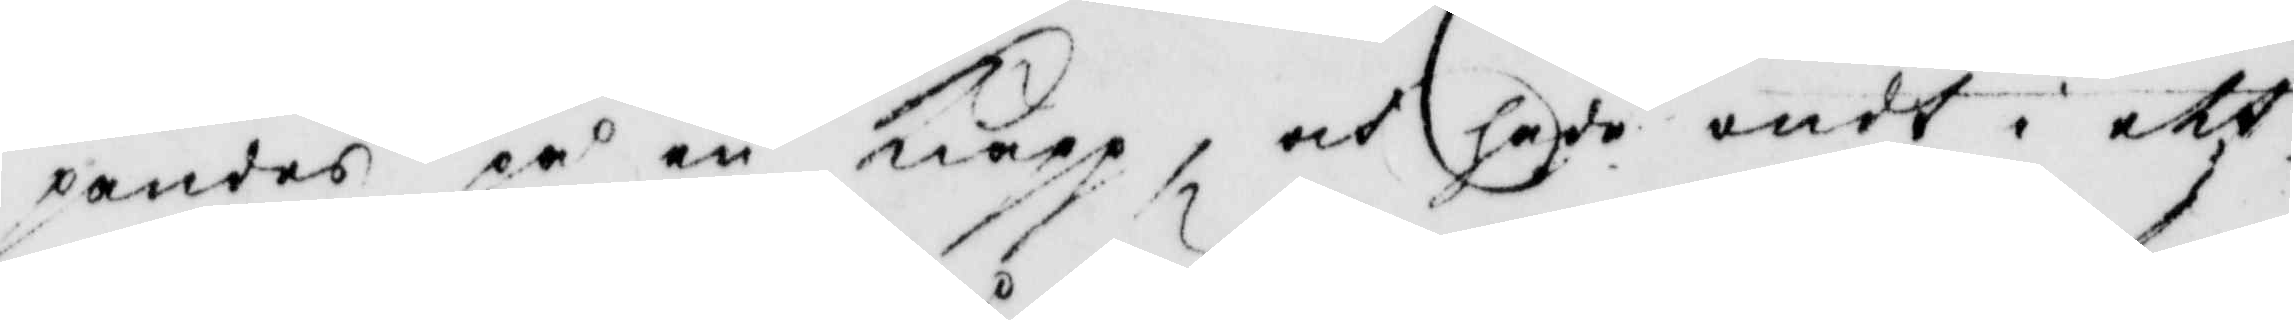pandes på en kiäpp, och hade ondt i ett
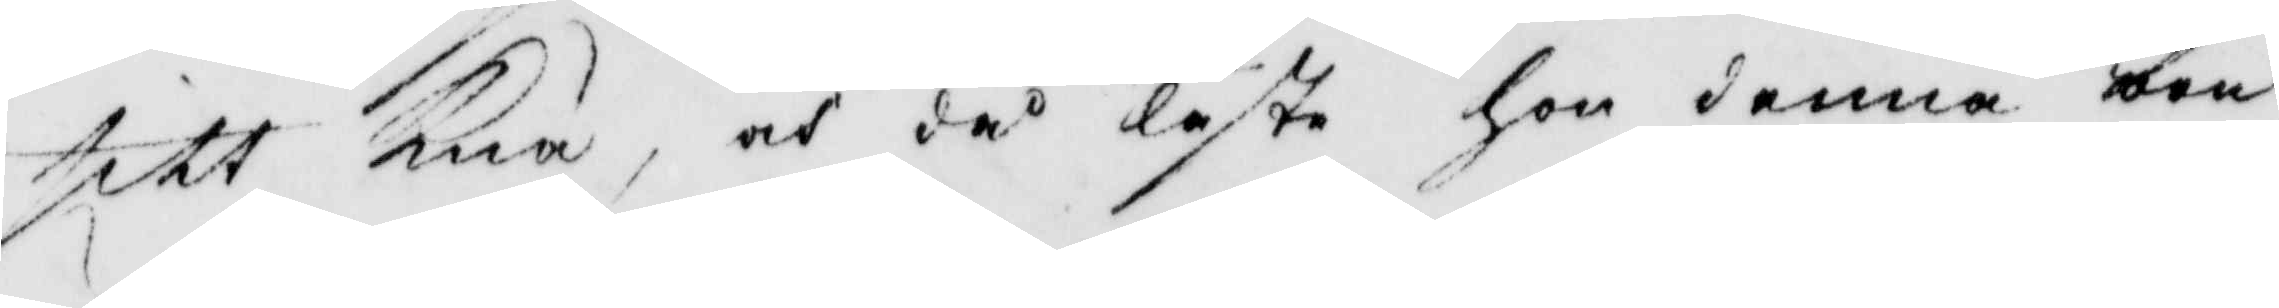sitt knä, och då läste hon denna arn
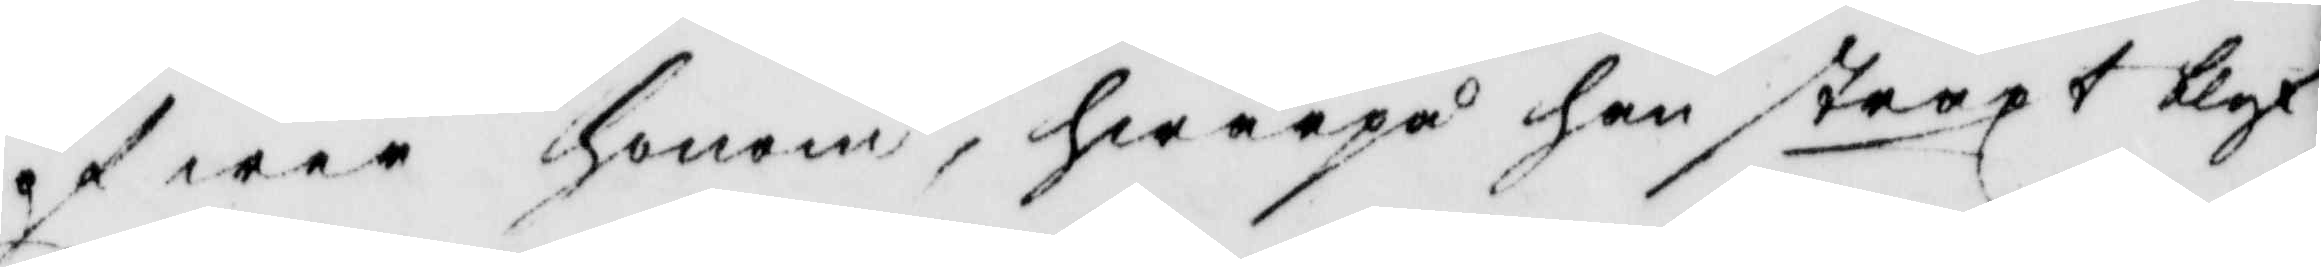öfwer honom, hwarpå han straxt blef
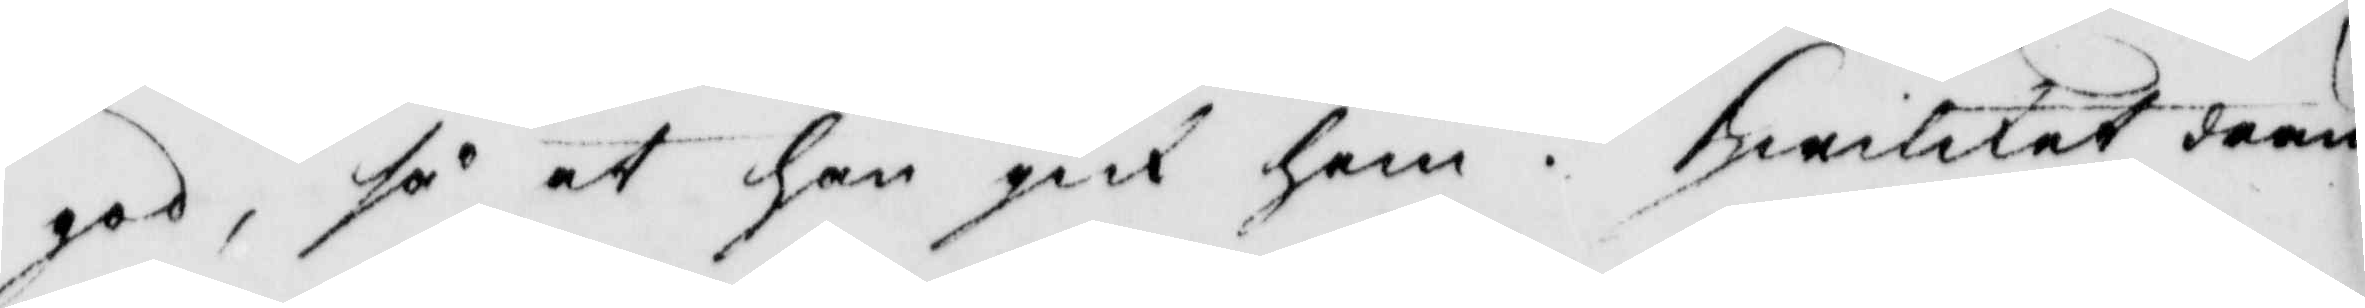god, så at han gick hem. hwilket drän¬
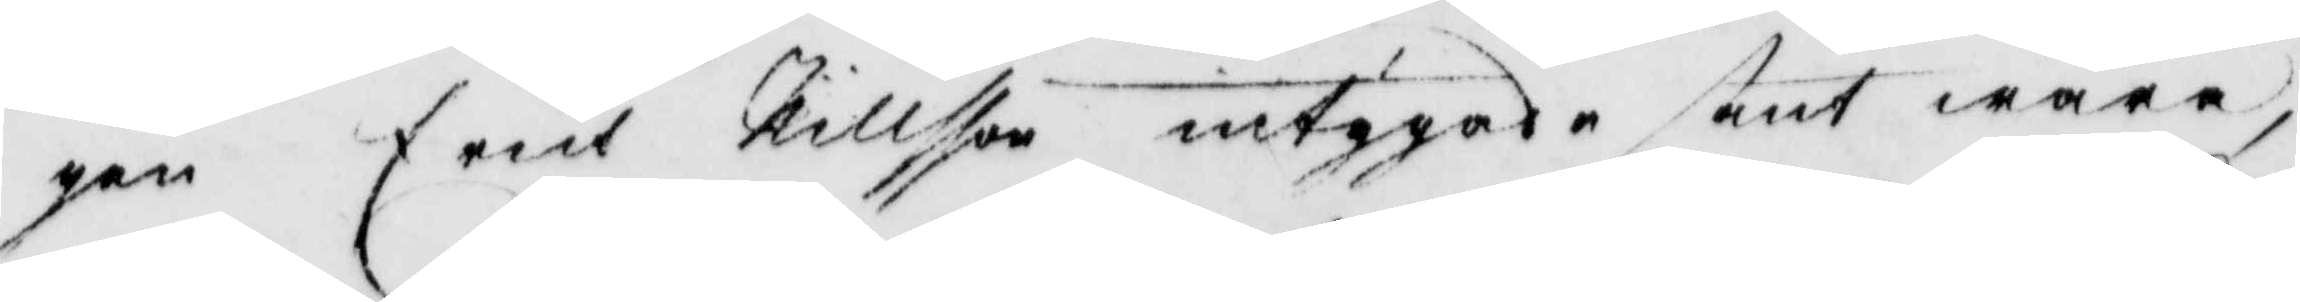gen Erich Nillsson intygade sant wara
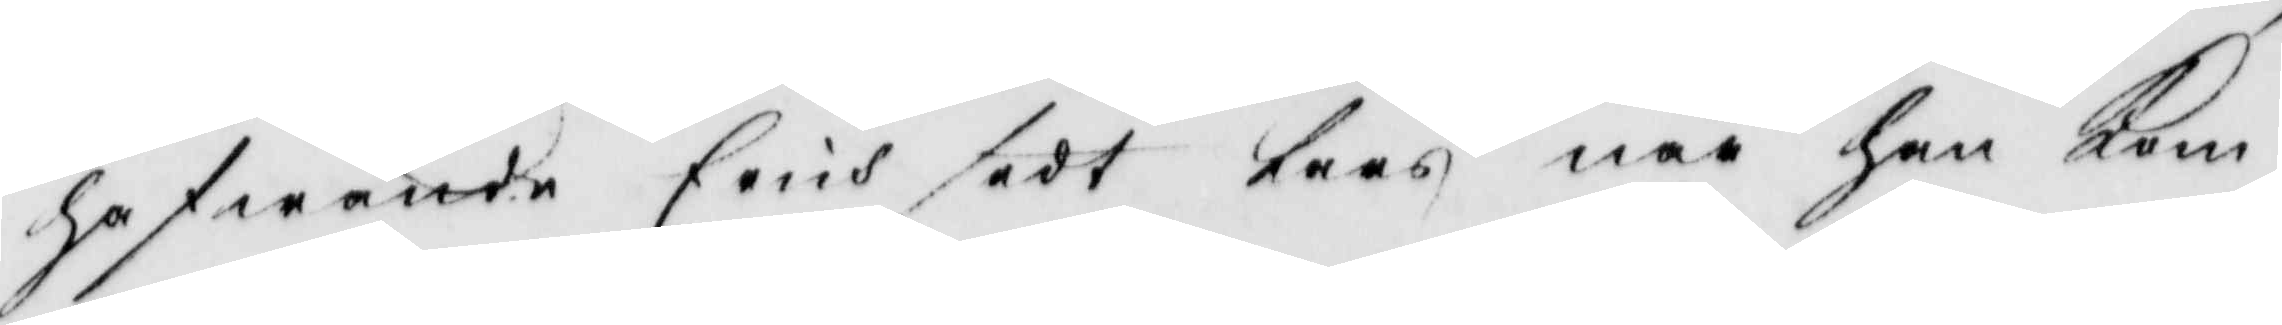hafwande eich sedt lars när han kom
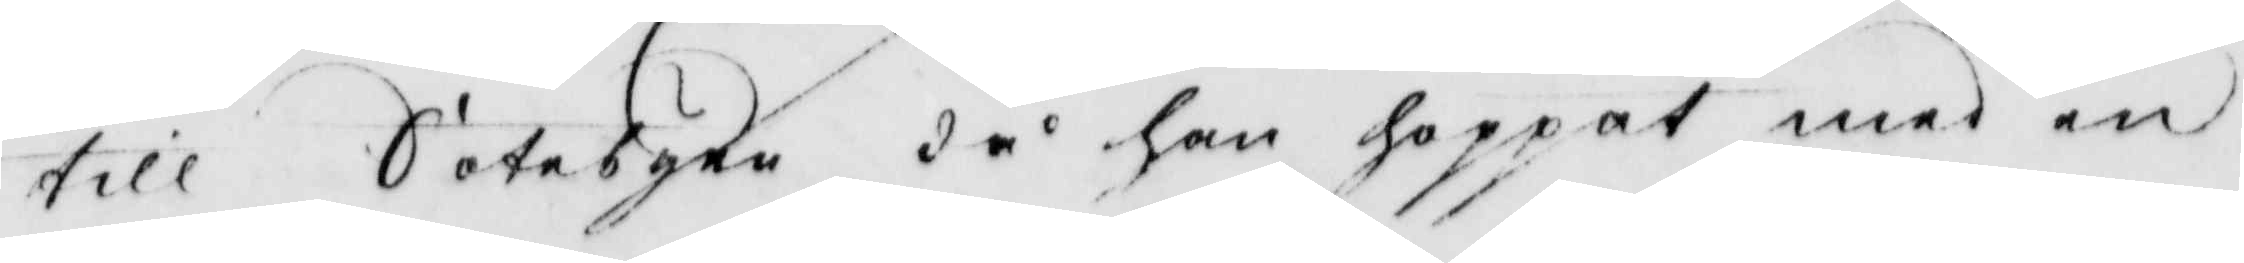till Sätebuen då han hoppat med en
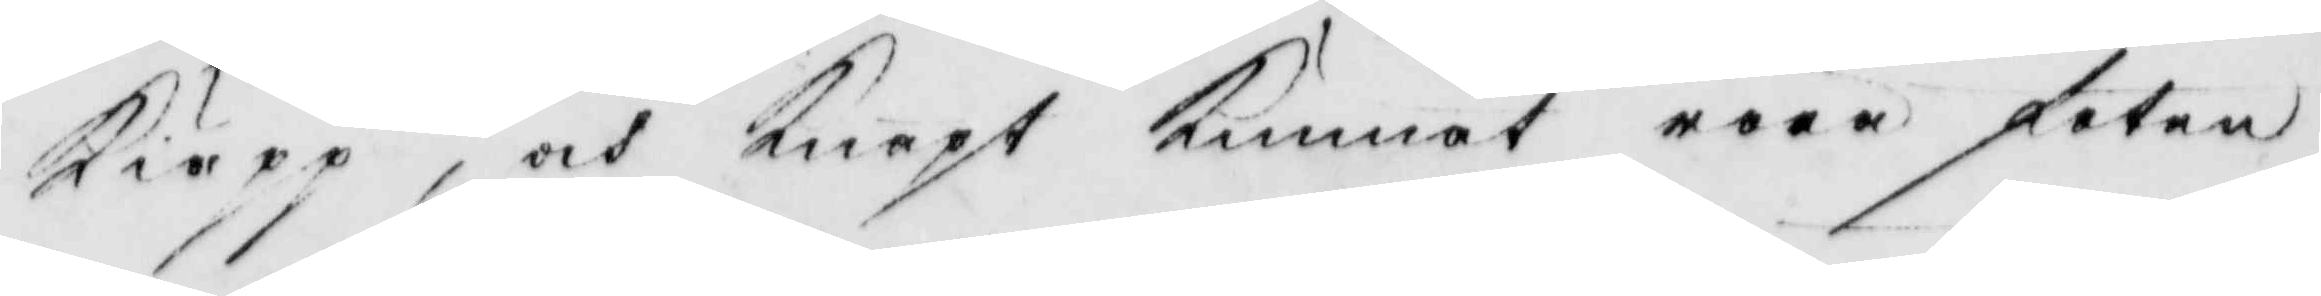kiäpp, och knapt kunnat röra foten
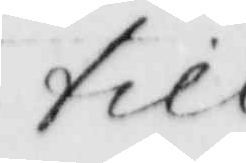till
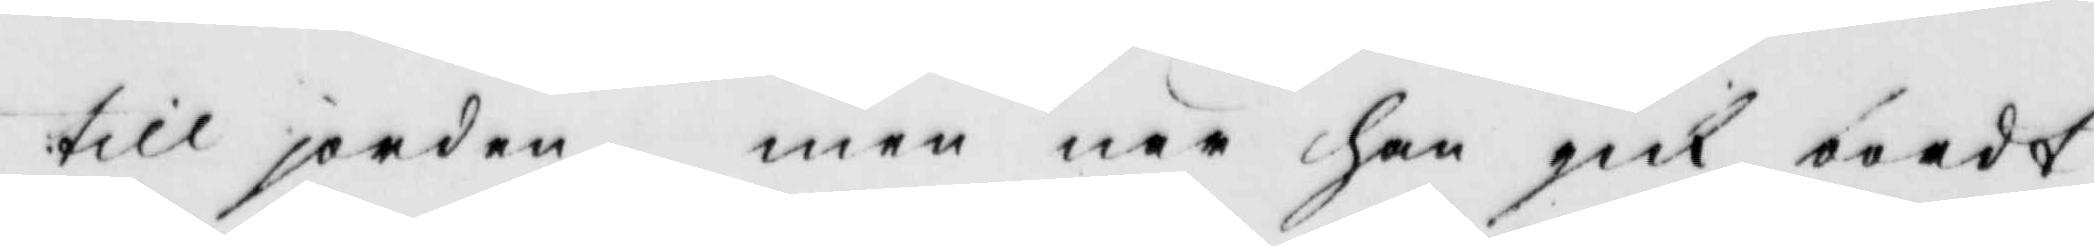till jorden, men när han gick bordt
